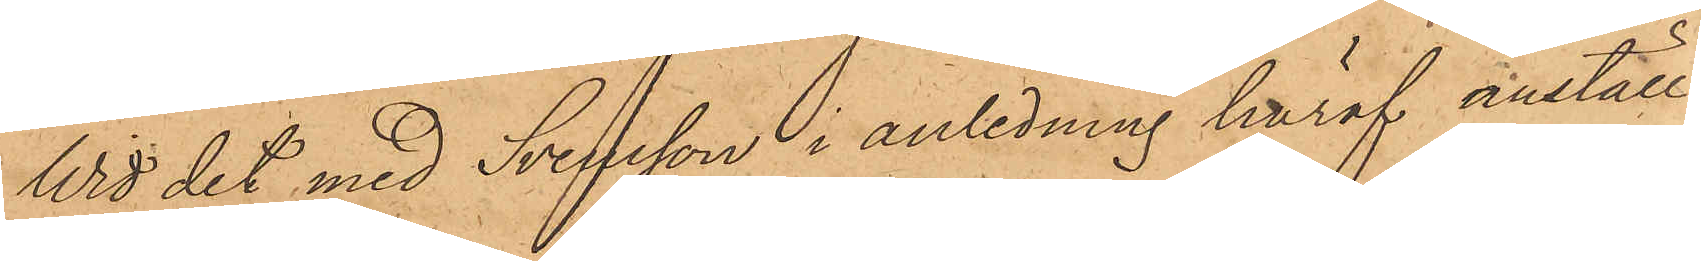Wid det med Svensson i anledning häraf anställ¬
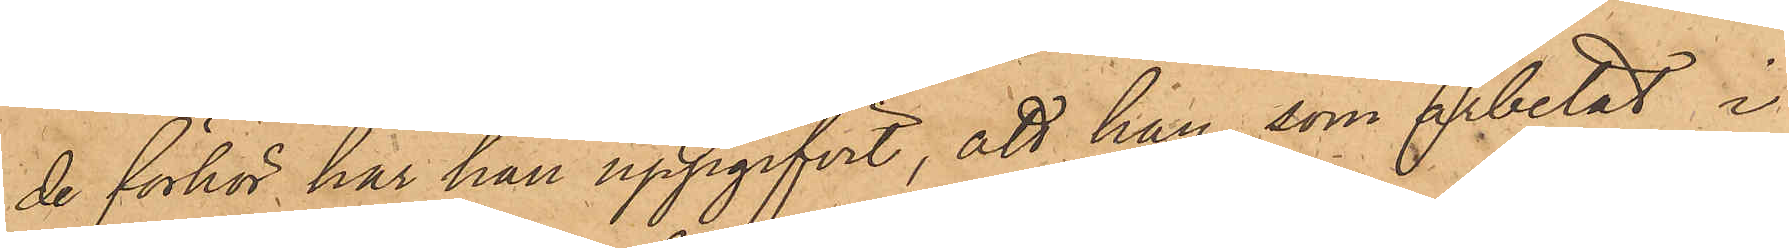de förhör, har han uppgifvit, att han, som arbetat i
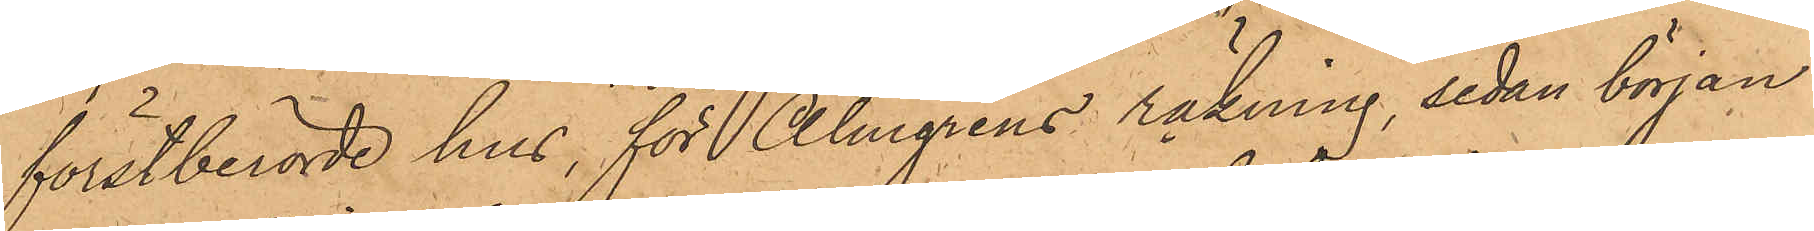förstberörde hus, för Almgrens räkning, sedan början
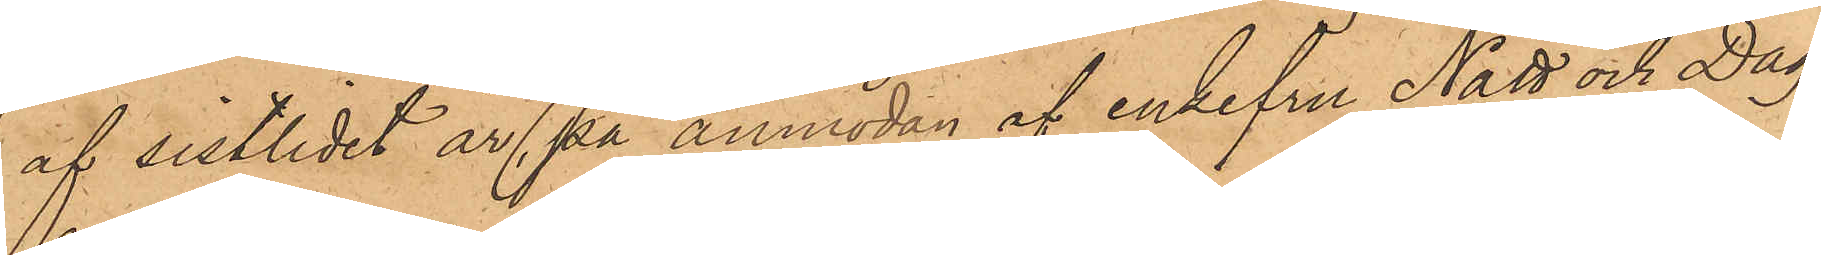af sistlidet år, på anmodan af enkefru Natt och Dag,
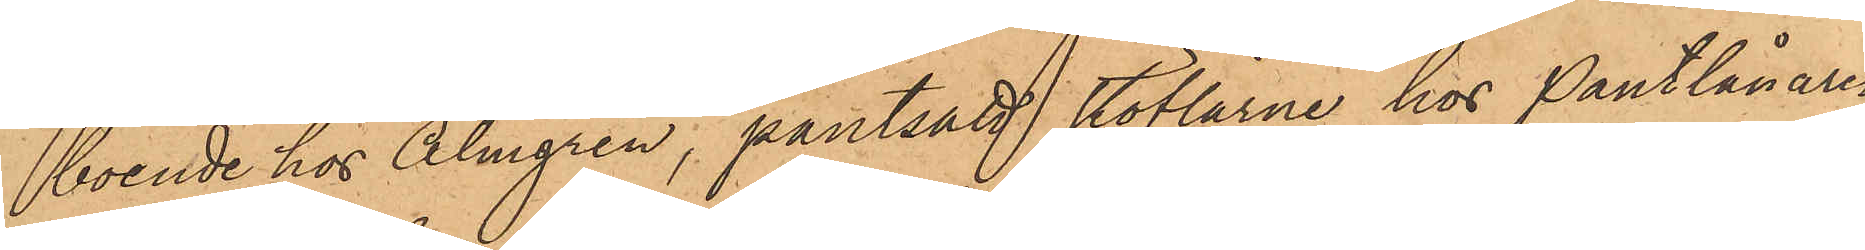boende hos Almgren, pantsatt stöflarne hos Pantlånare
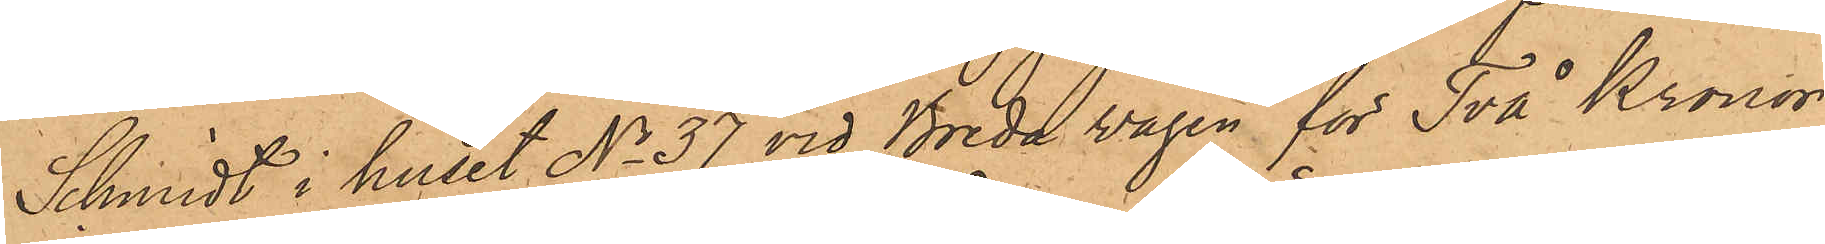Schmidt i huset No 37 vid Breda vägen för Två Kronor,
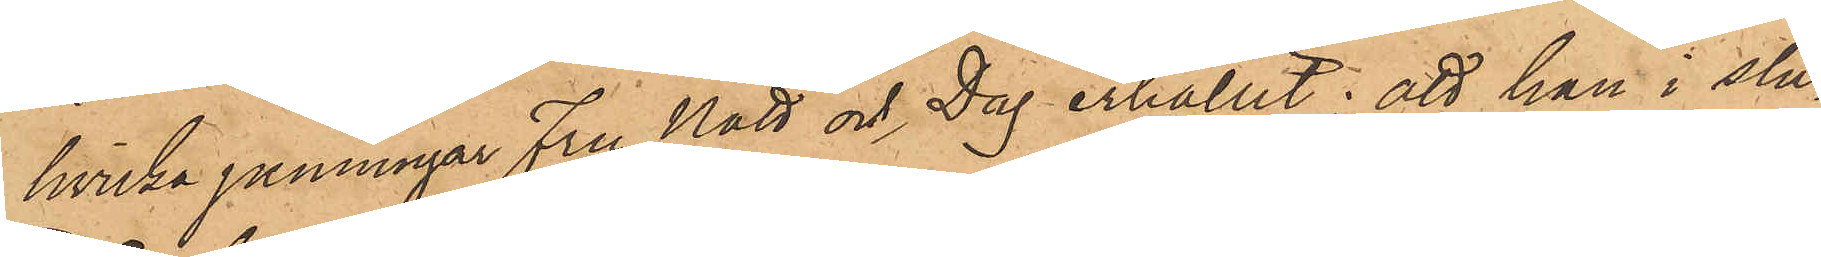hvilka penningar Fru Natt och Dag erhållit; att han i slu¬
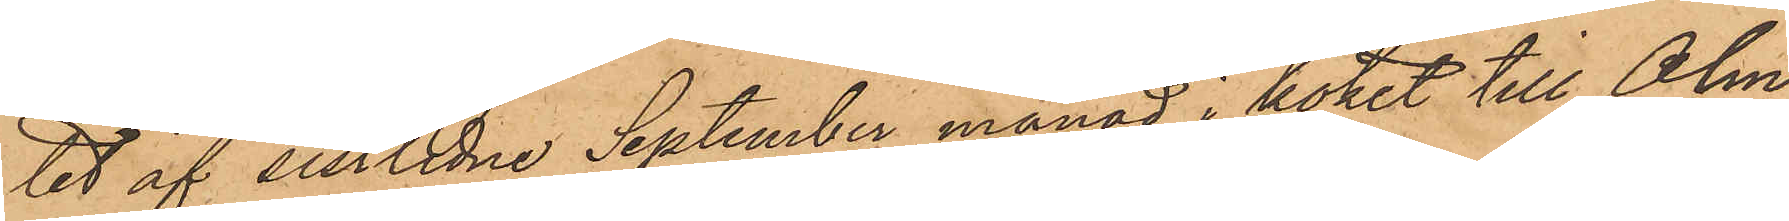tet af sistlidne September månad i köket till Alm¬
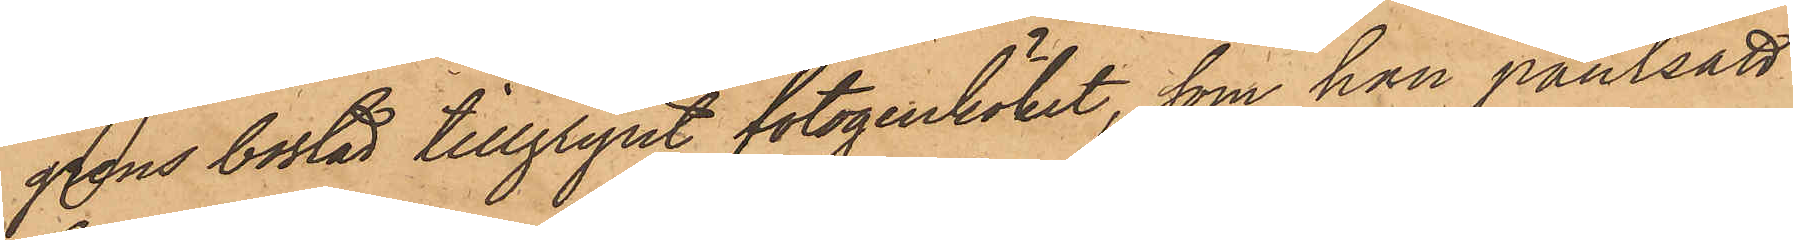grens bostad tillgripit fotogenköket, som han pantsatt
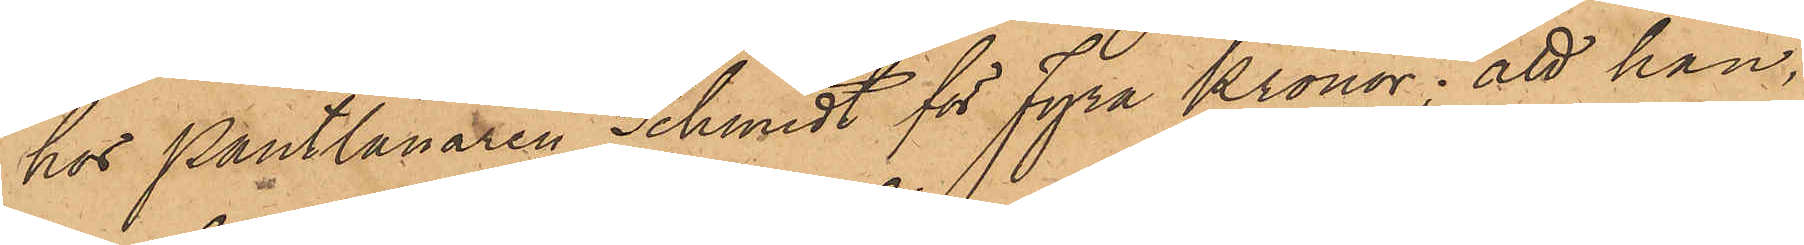hos Pantlånaren Schmidt för fyra Kronor; att han,
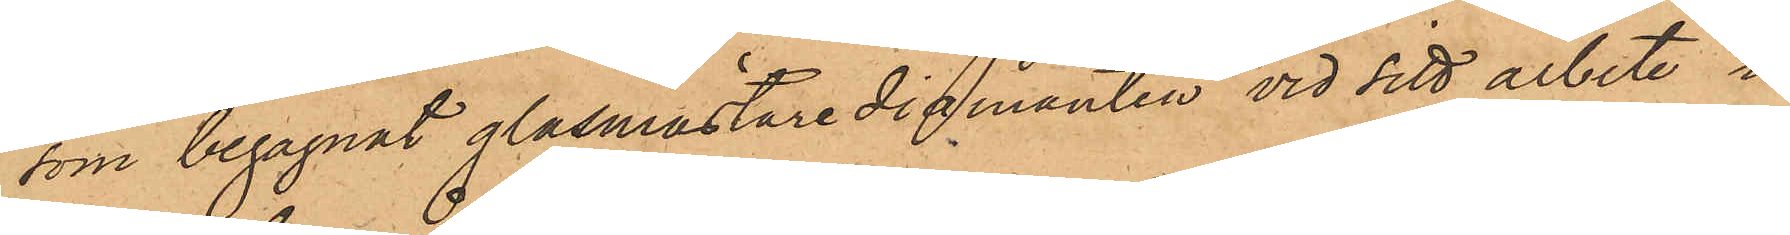som begagnat glasmästare diamanten vid sitt arbete i
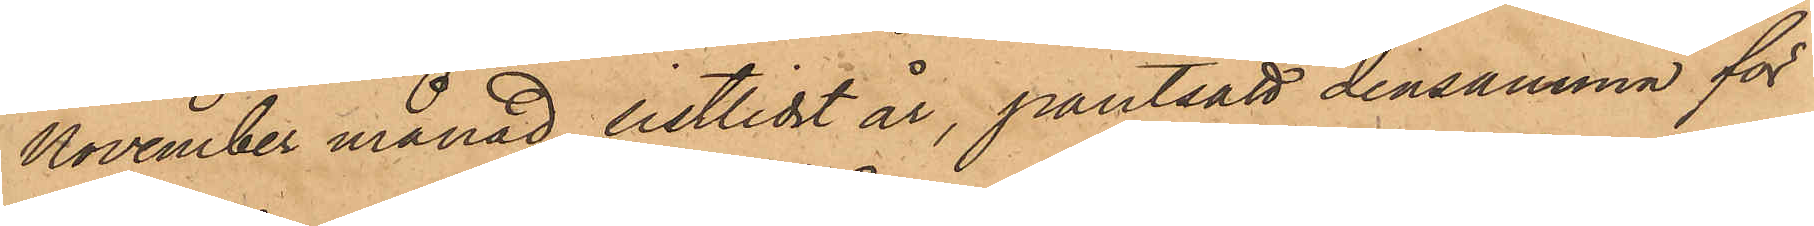November månad sistlidet år, pantsatt densamma för
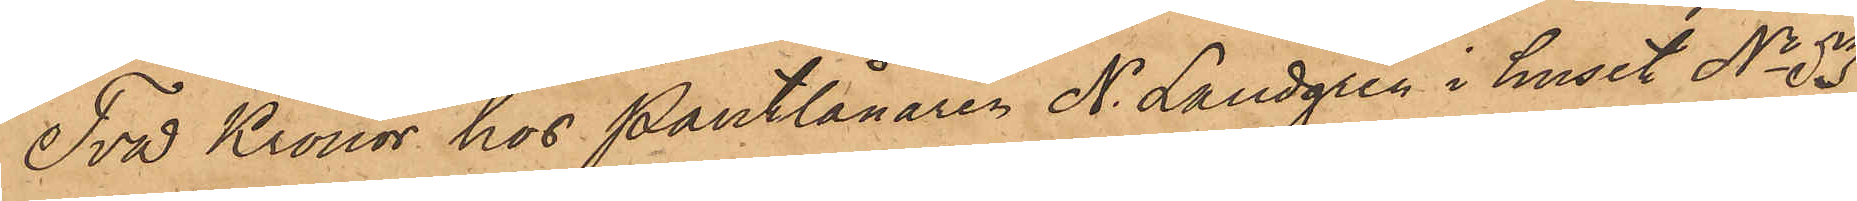Två Kronor hos Pantlånaren N. Landgren i huset No 53
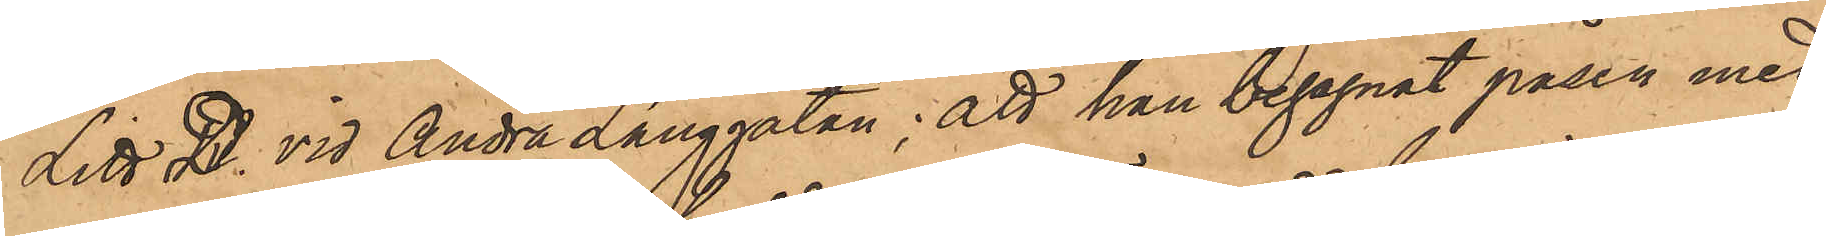Litt. D. vid Andra Långgatan; att han begagnat påsen med
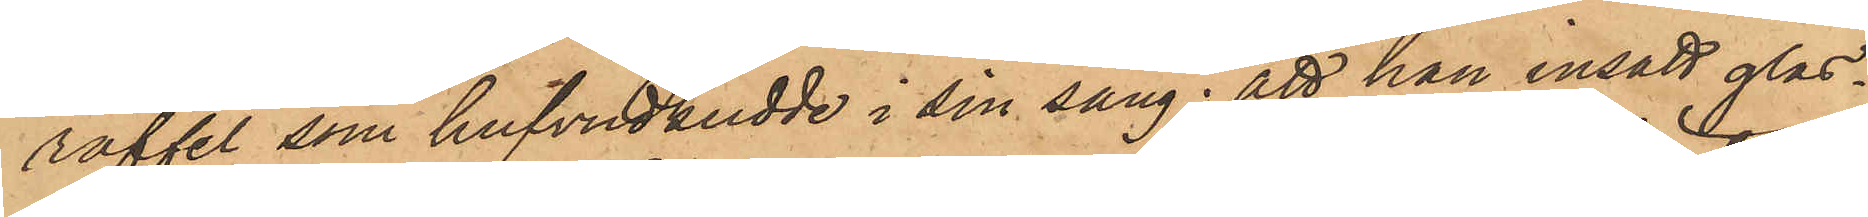raffel, som hufvudkudde i sin säng; att han insatt glas¬
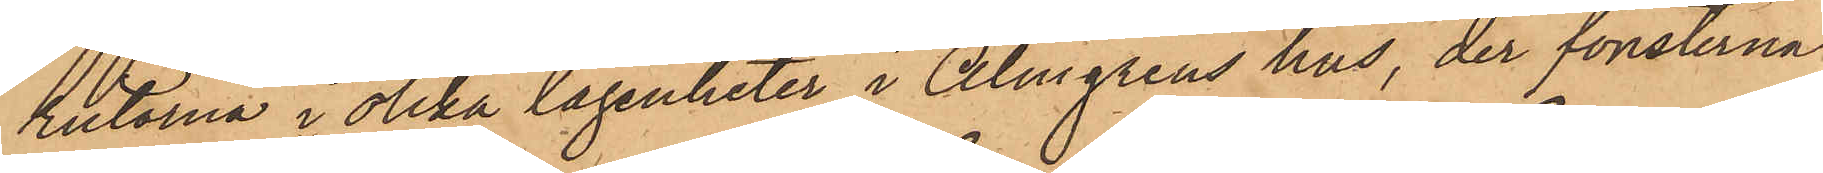ristorna i olika lägenheter i Almgrens hus, der fönsterna
